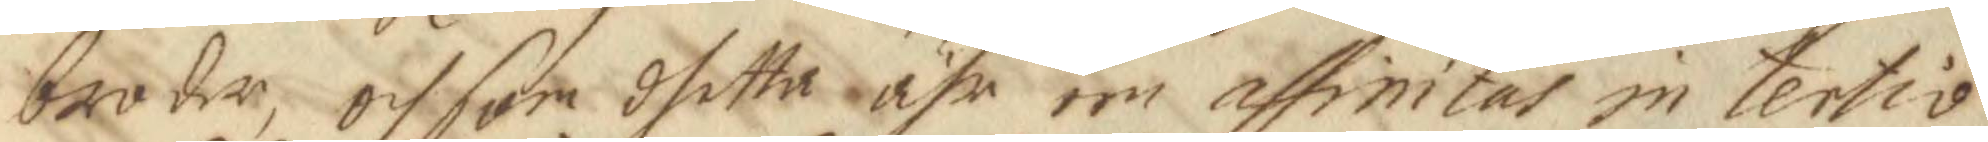broder, och som dhetta ähr een assimtas in tertio
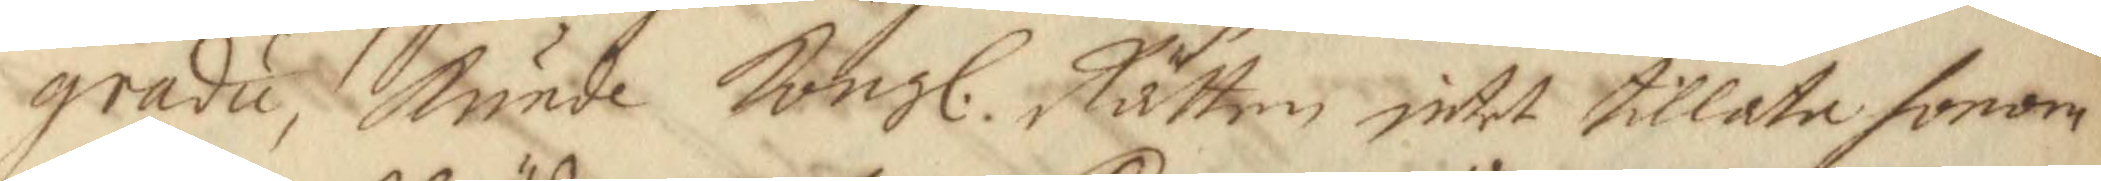gradu, kunde Kongl. Rätten intet tillata honom 
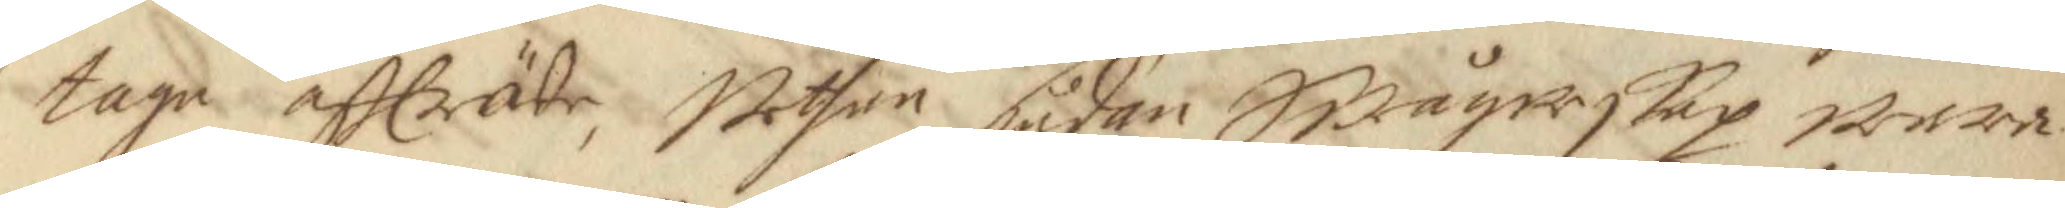taga affträde, Uthan sådan Swågerskap wara 
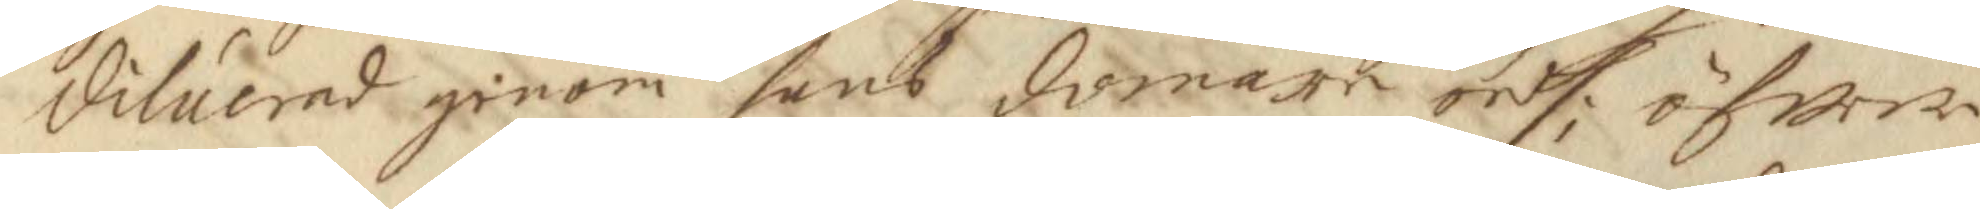diluerad genom hans domare ordh; öfwer
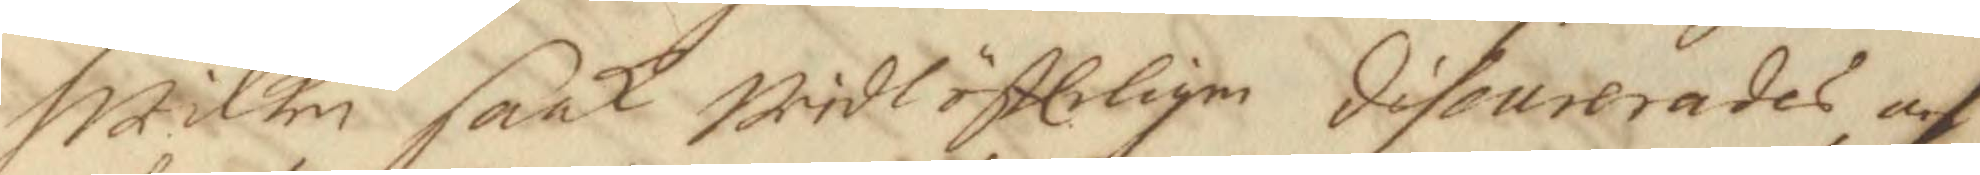Hwilken saak widlöfteligen discurerades och
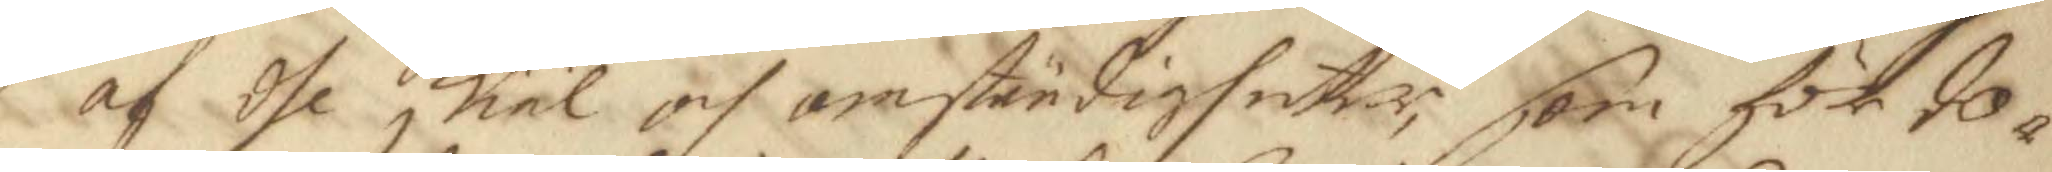af dhe skiäl och omständigheter, som för do¬
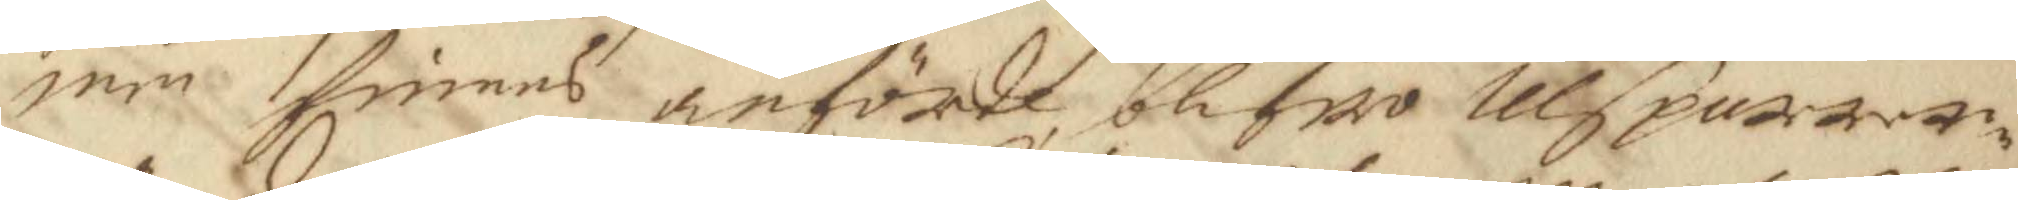men finnes anförde blifwo Ulsparrar¬ 
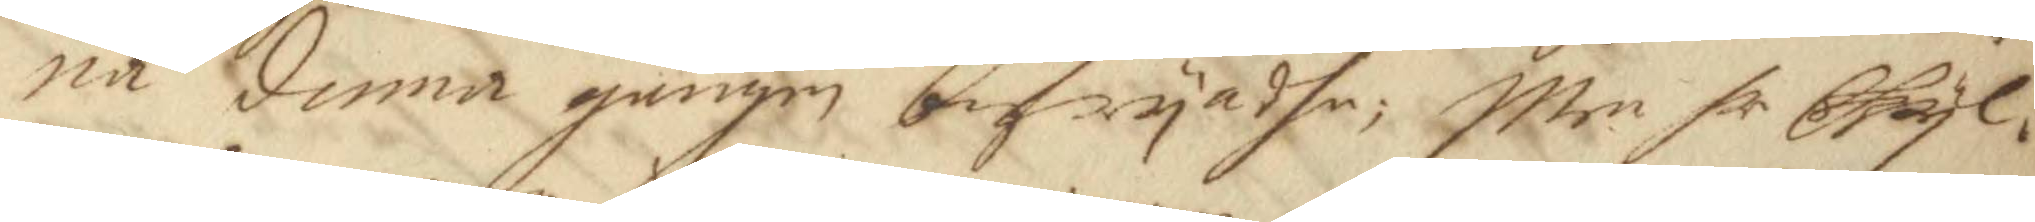na denna gången befryadhe; Men hr Gyl¬
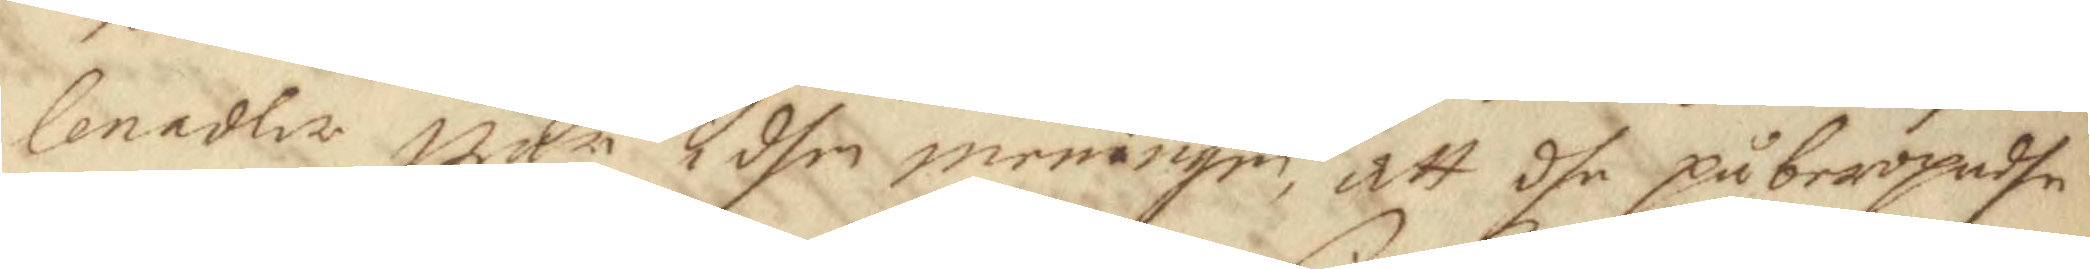lenadler war i dhen meningen, att dhe påberopadhe
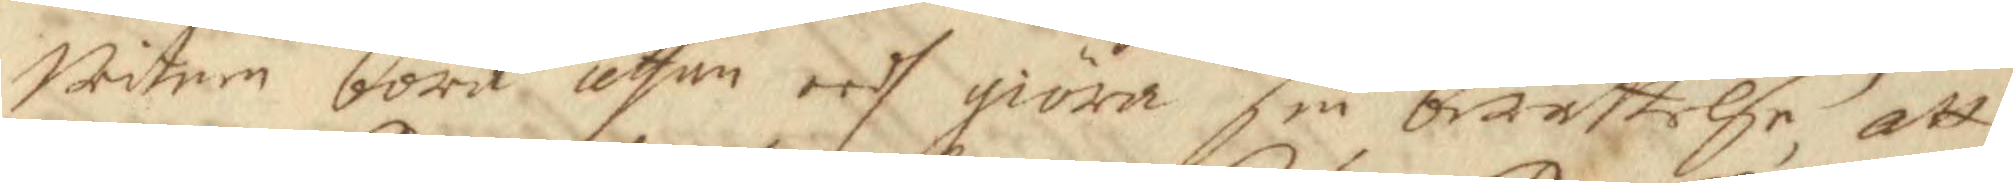Witnen böra, uthan eedh giöra sin berättelse, att
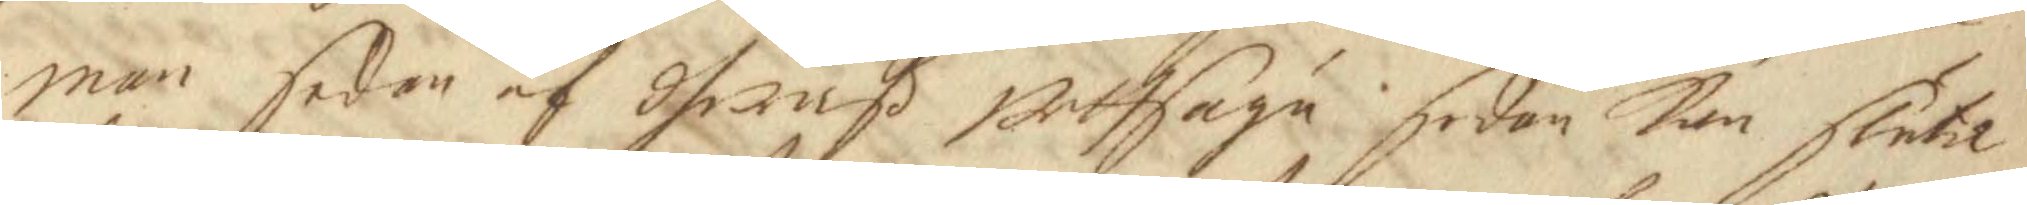man sedan af dheraß uthsaga: sedan kan sluta
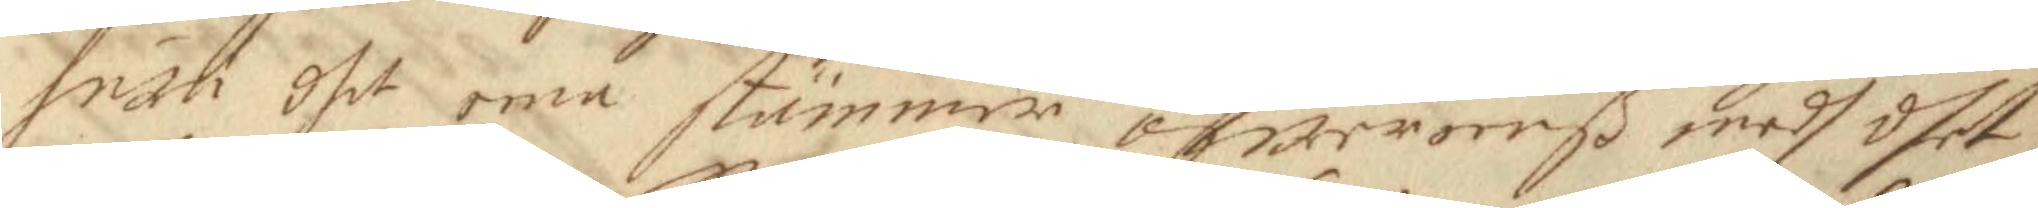huru dhet ena stämmer öfwerderß medh dhet
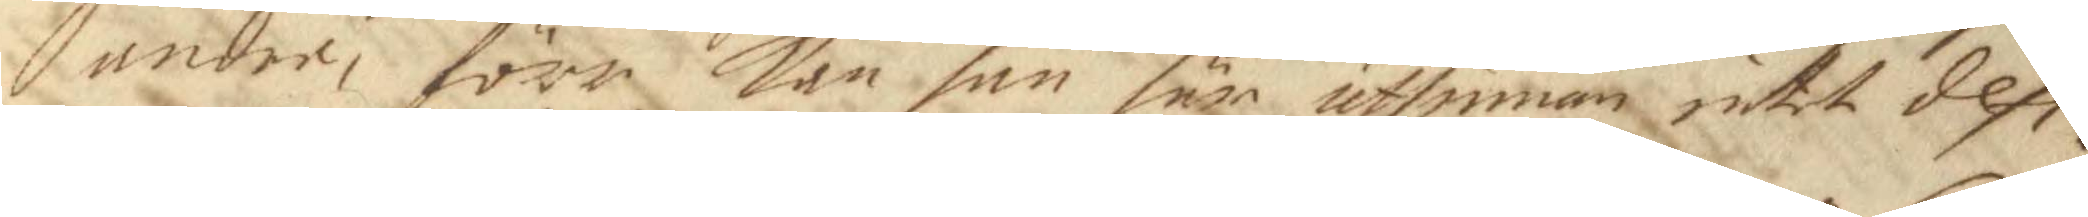andre, förr kan han här uthinnan intet defi¬
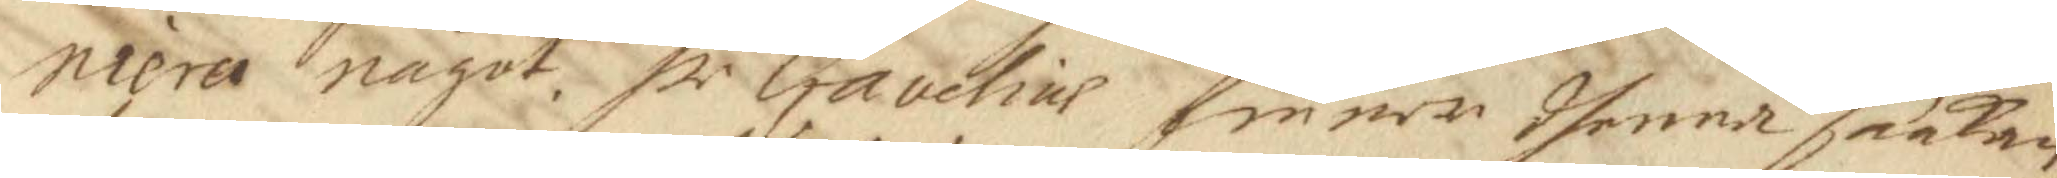niera något. Hr. Gavelius finner dhenna saakan 
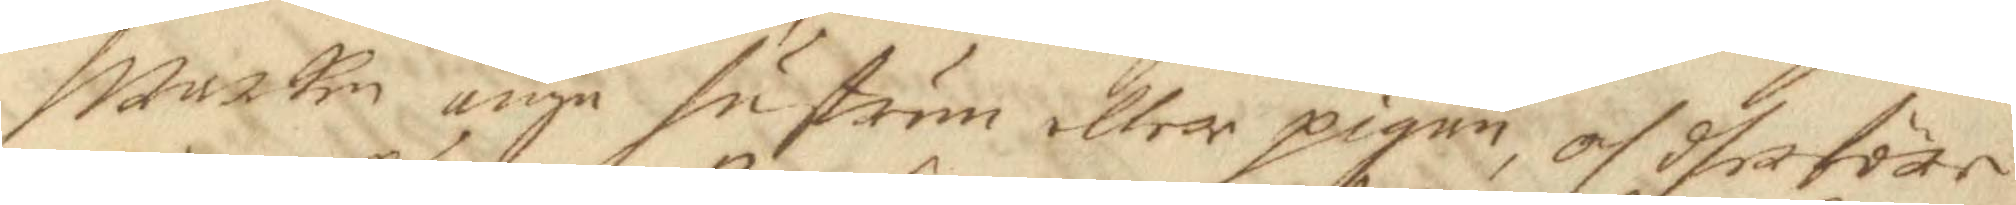Warken unge hustrun eller pigan, och dheföre
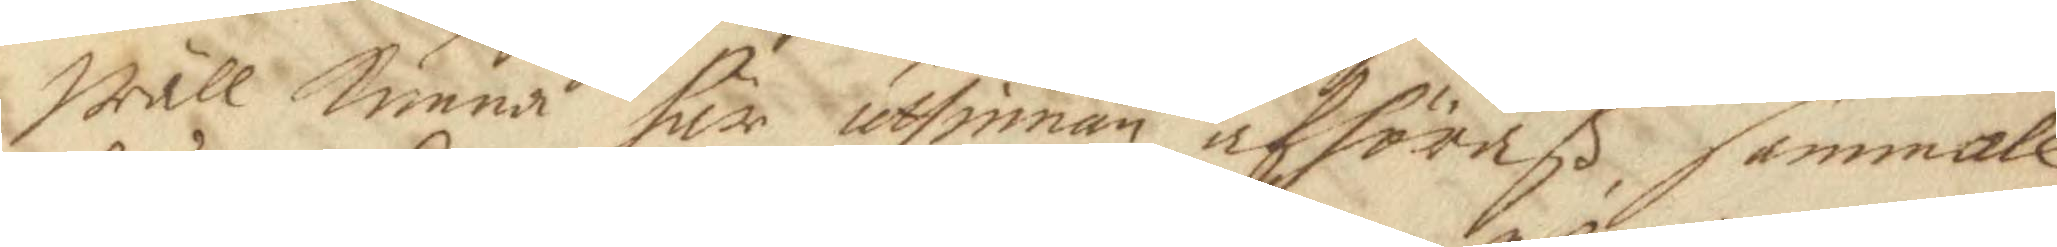Wäll kunna här uthinnan afhöraß, sammale¬
